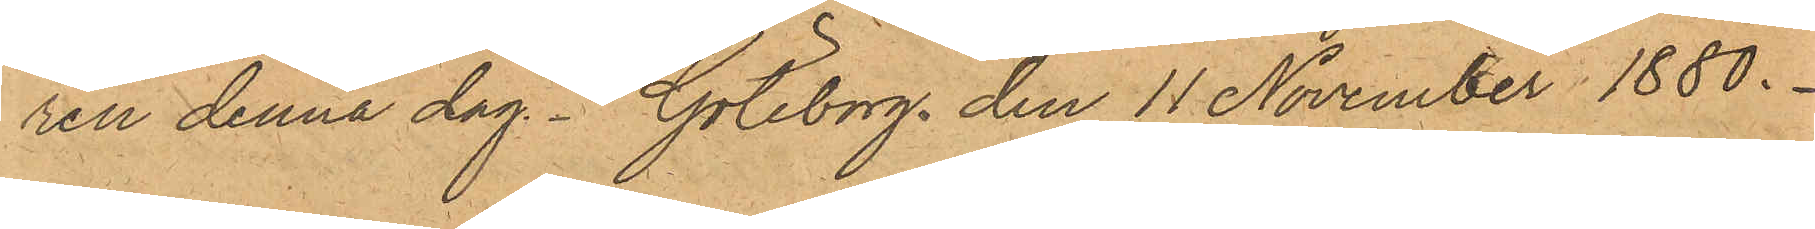ren denna dag. Göteborg den 11 November 1880.
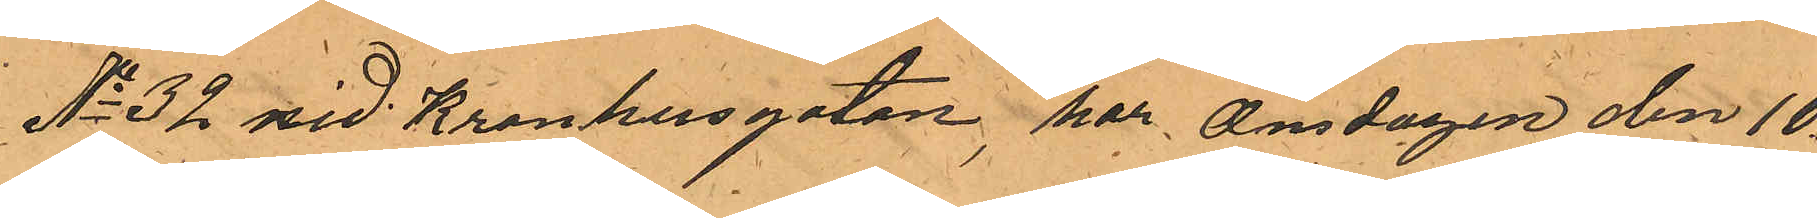No 32 vid Kronhusgatan, har Onsdagen den 10
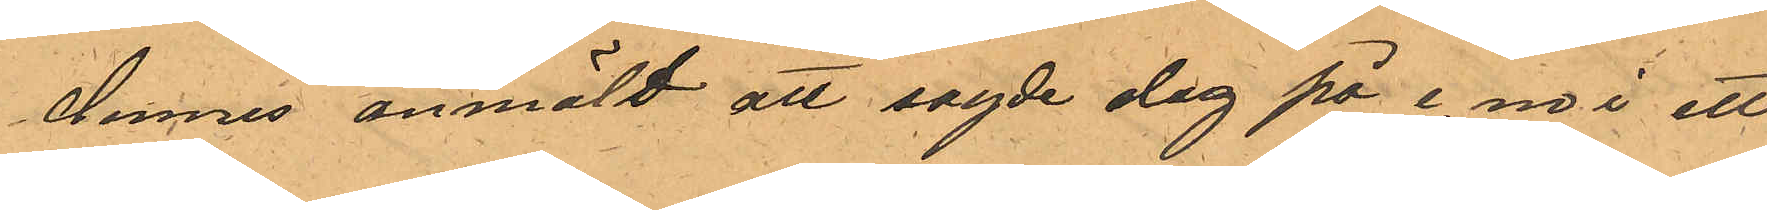dennes anmält att sagde dag på e. m. i ett
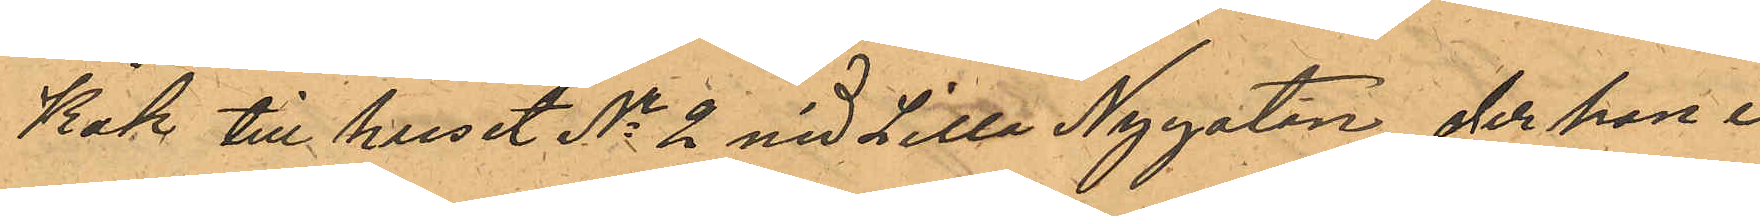Kök till huset No 2 vid Lilla Nygatan, der hon i
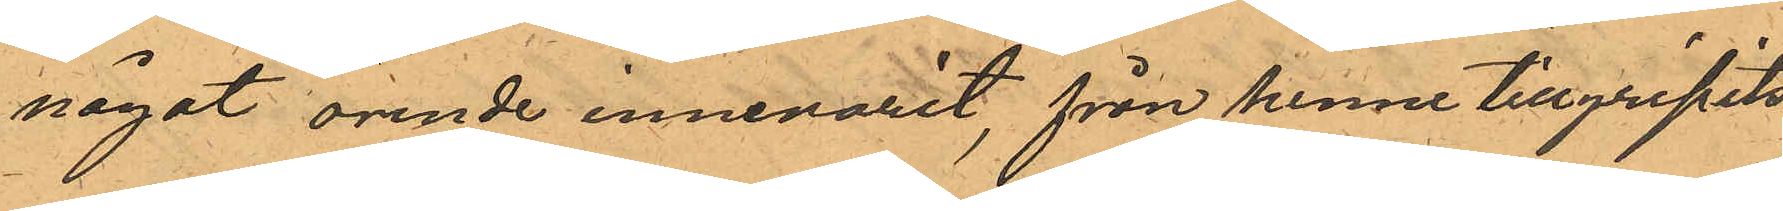något ärende innevarit, från henne tillgripits
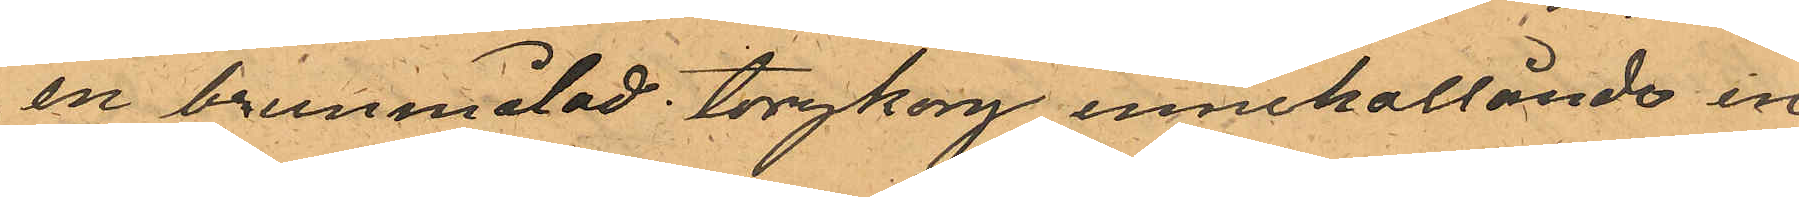en brunmålad torgkorg innehållande en
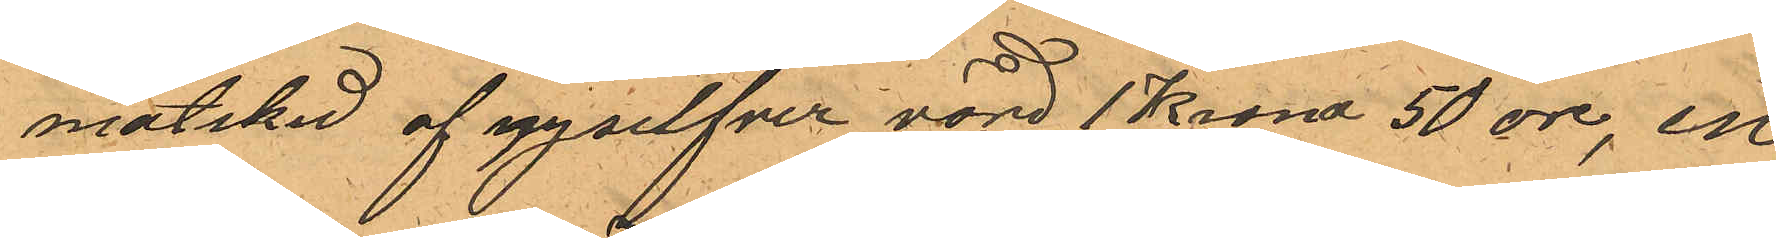matsked af nysilfver värd 1 Krona 50 öre, en
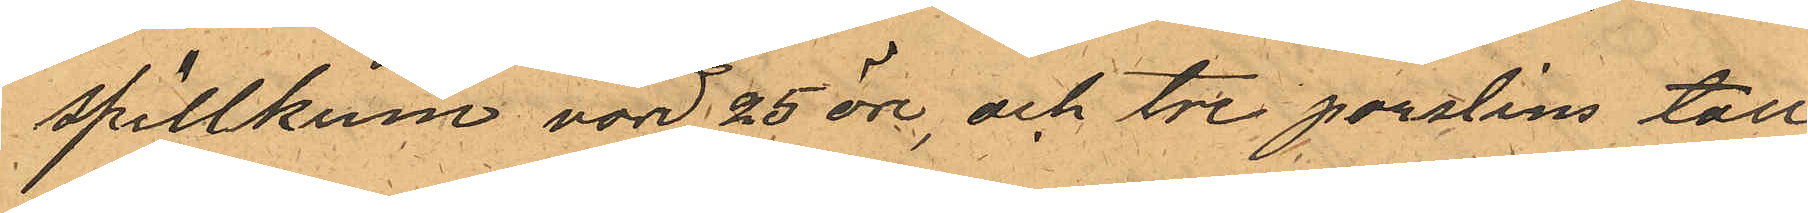spillkum värd 25 öre, och tre porslins tall¬
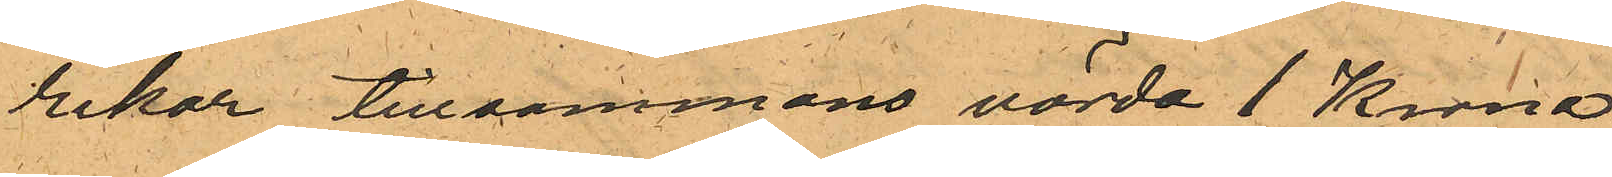rikar tillsammans värda 1 Krona.
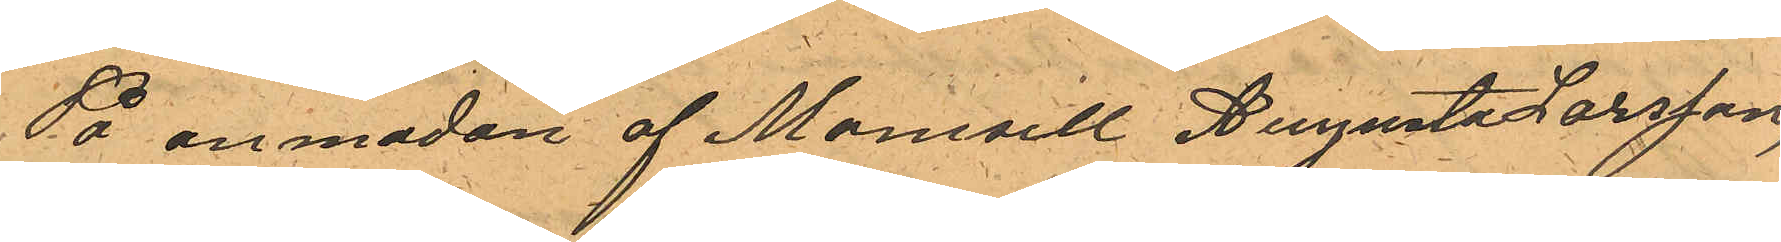På anmodan af Mamsell Augusta Larsson,
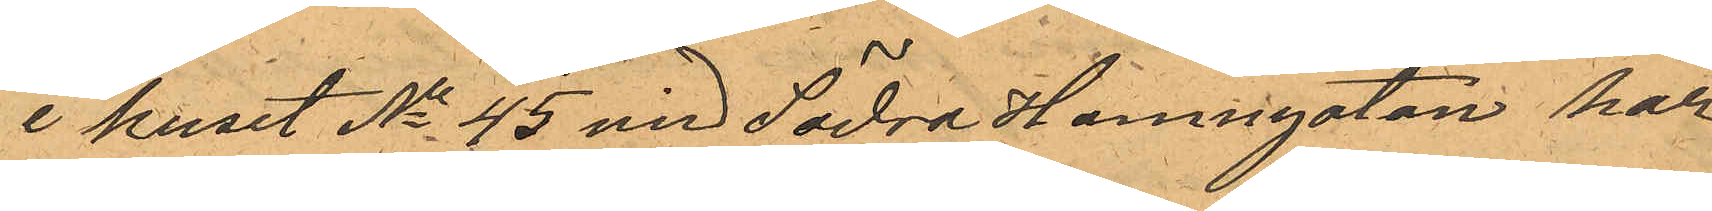i huset No 45 vid Södra Hamngatan har
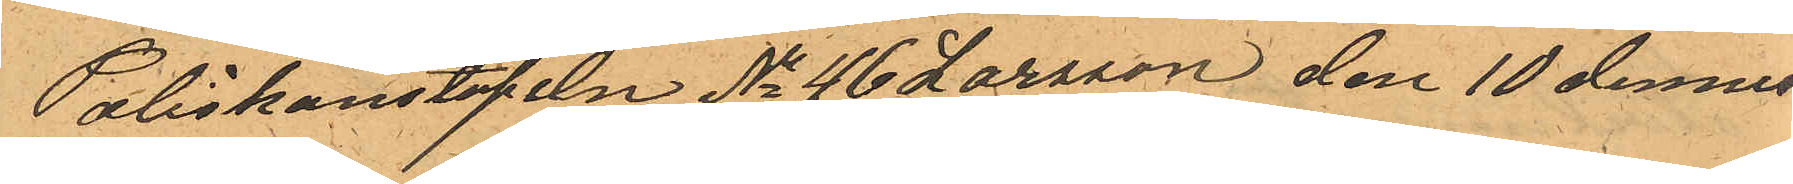Poliskonstapeln No 46 Larsson den 10 dennes
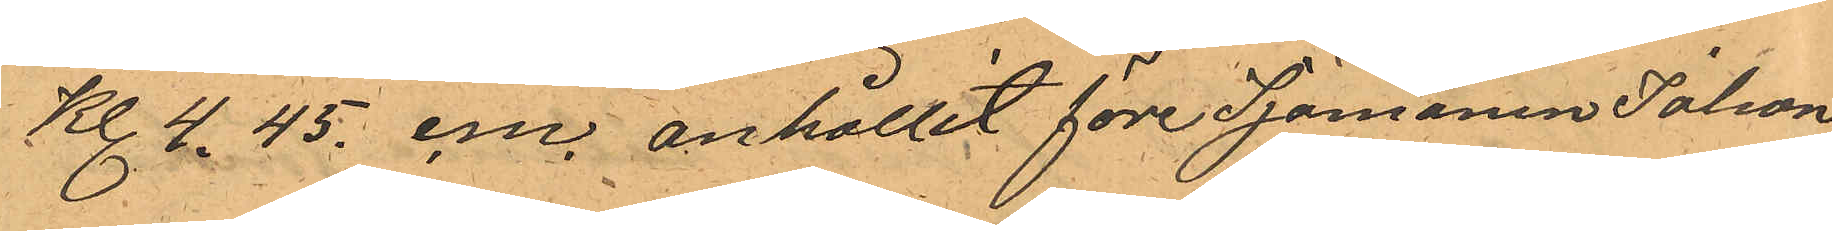Kl. 4.45. e.m. anhållit före Sjömanen Johan
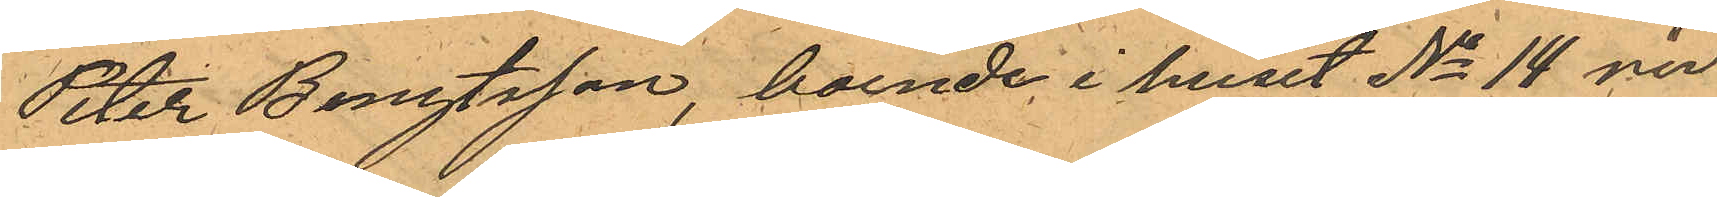Peter Bengtsson, boende i huset No 14 vid
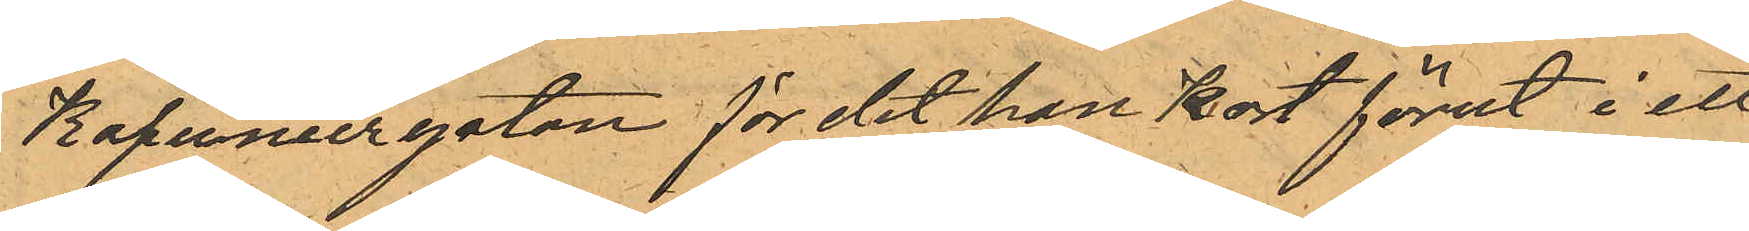Kapuniergatan för det han kort förut i ett
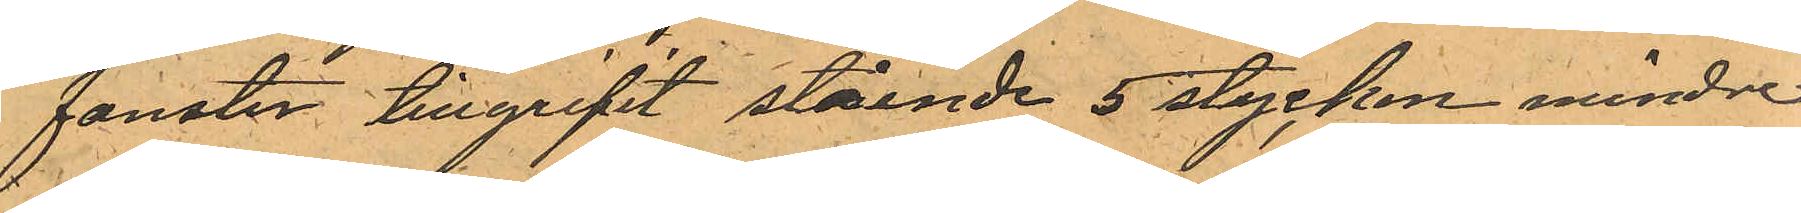fönster tillgripit stående 5 stycken mindre
